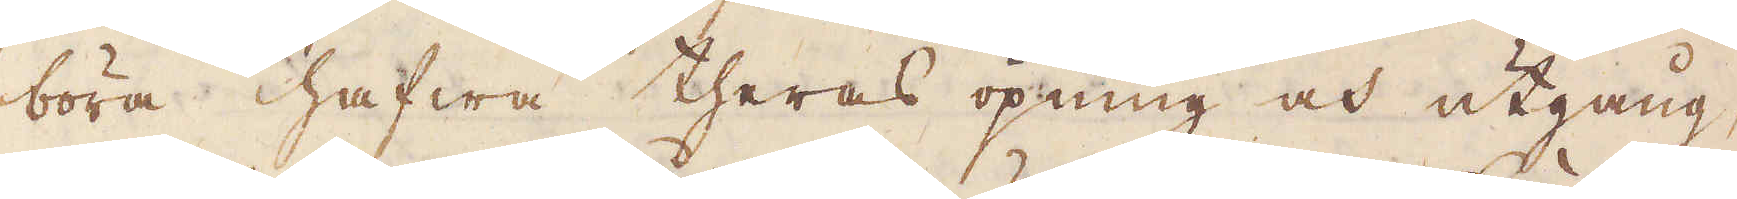böra hafwa theras öpning och utgång,
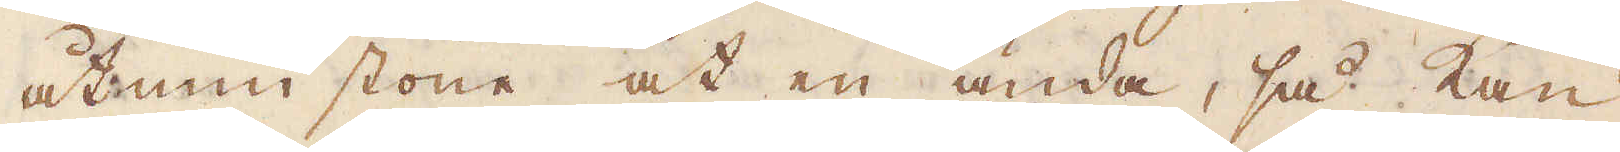åtminstone åt en ända, så kan
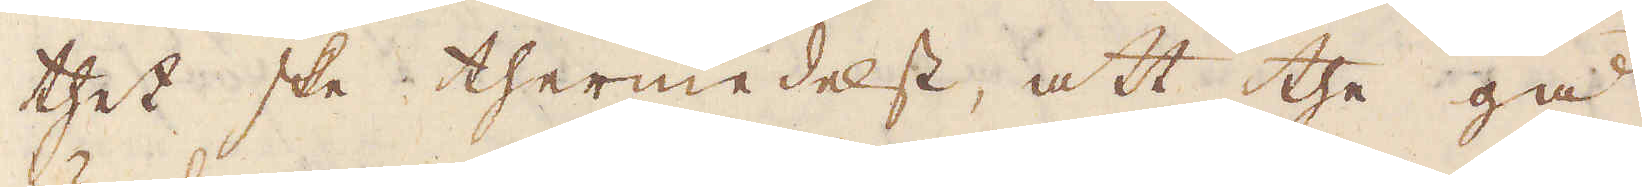thet ske thermedelst, att the gå
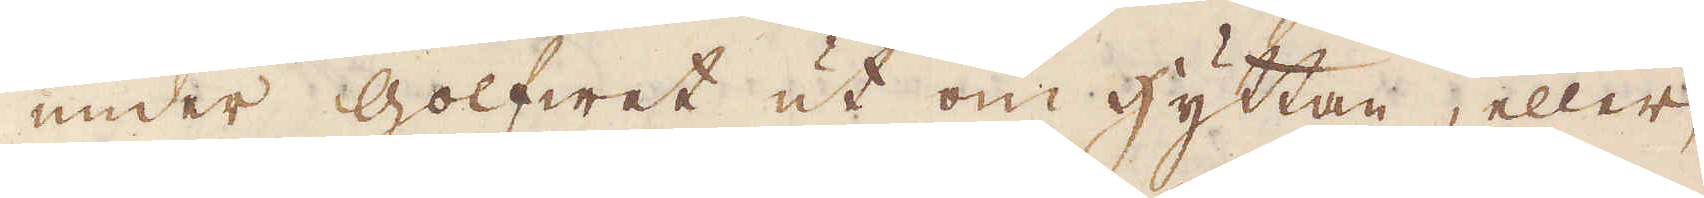under Golfwet ut om hyttan, eller,
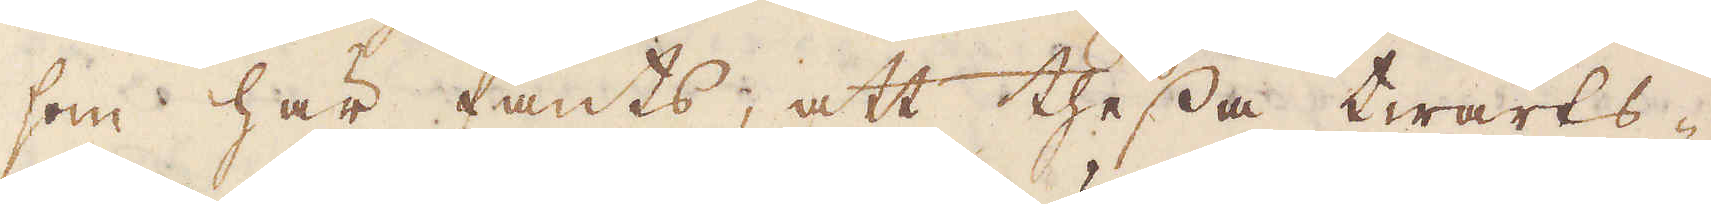som här fants, att thessa twärts-
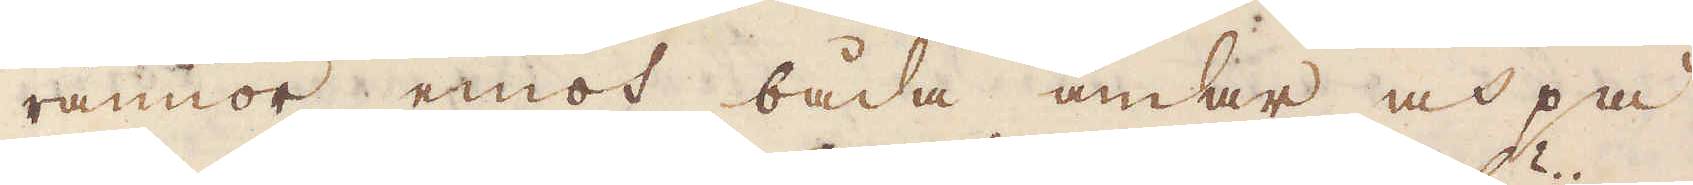rännor emot båda ändar och på
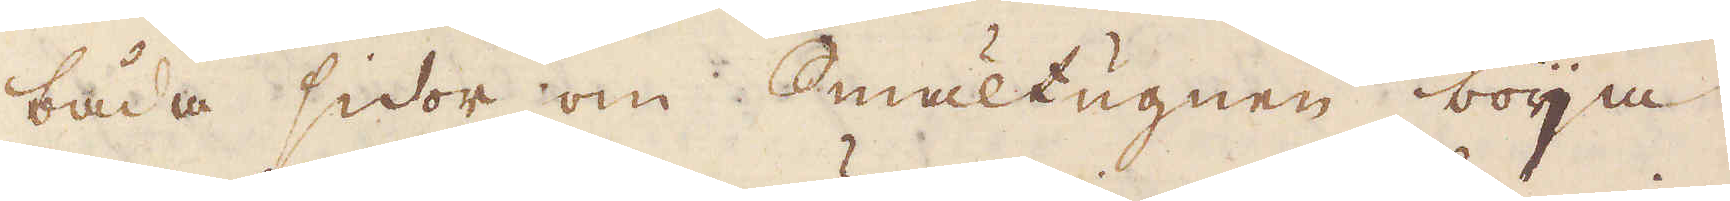båda sidor om Smältugnen böija
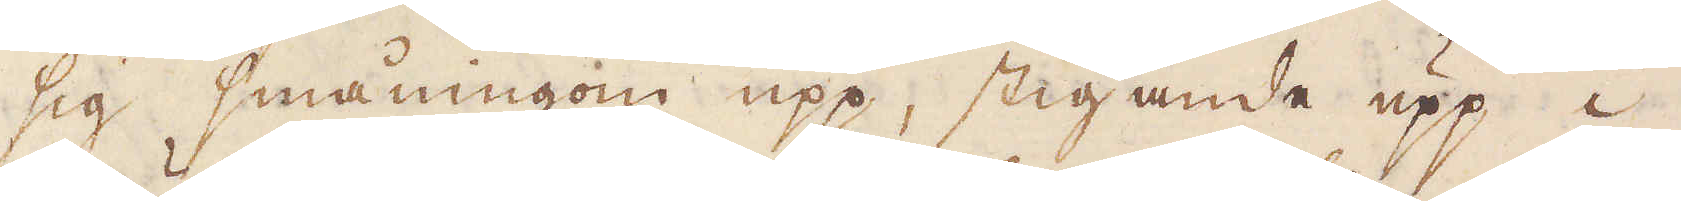sig småningom upp, stigande upp i
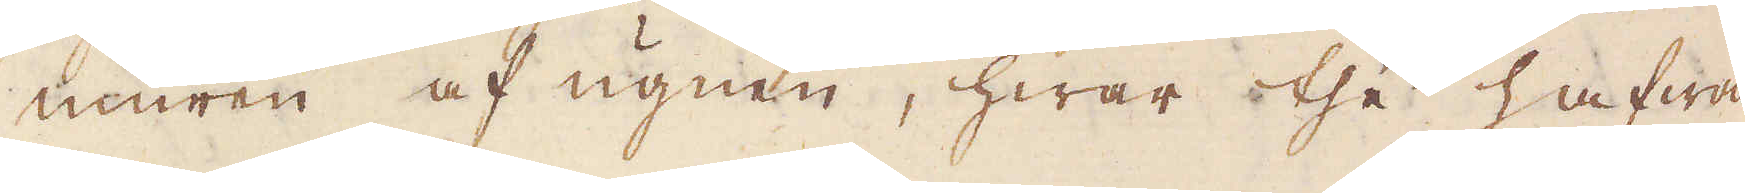muren af ugnen, hwar the hafwa
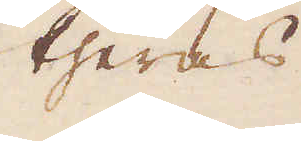theras
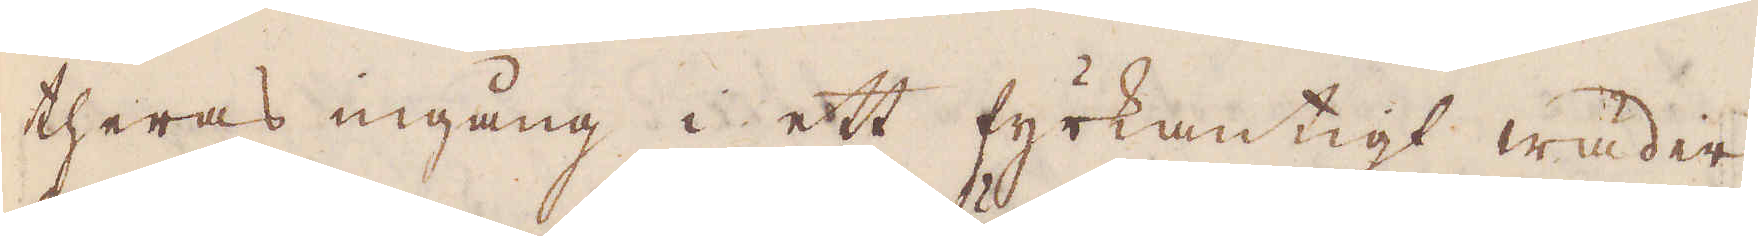theras ingång i ett fyrkantigt wäder-
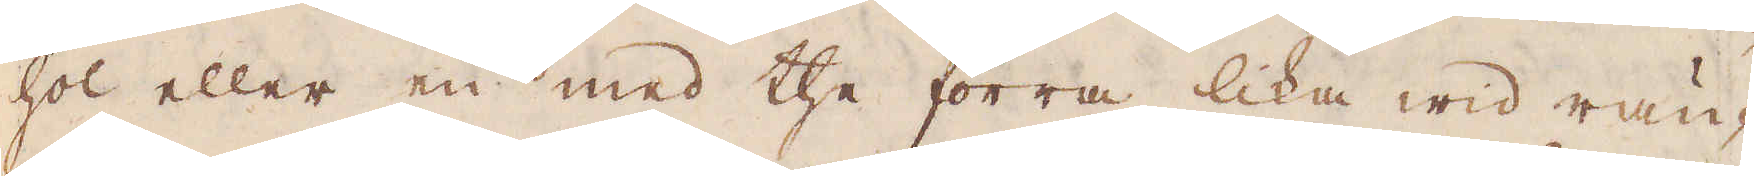hol eller en med the förra lika wid rän-
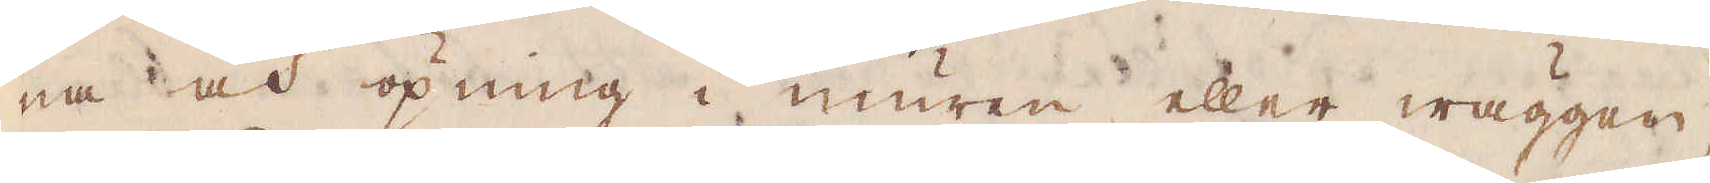na och öpning i muren eller wäggen,
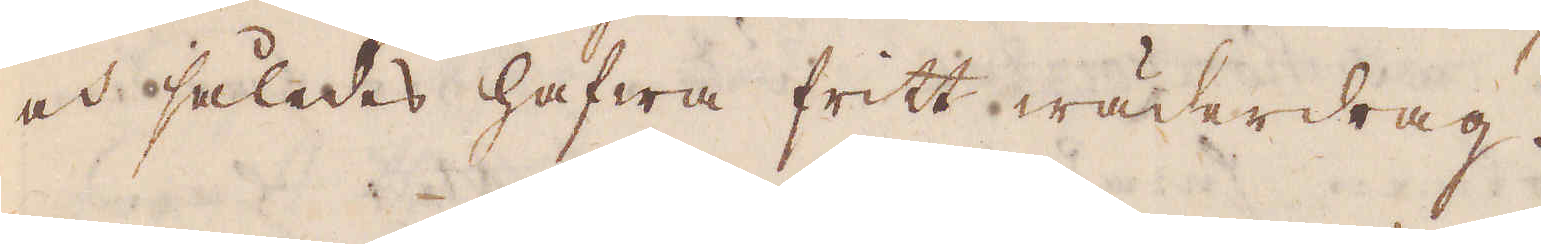och således hafwa fritt wäderdrag.
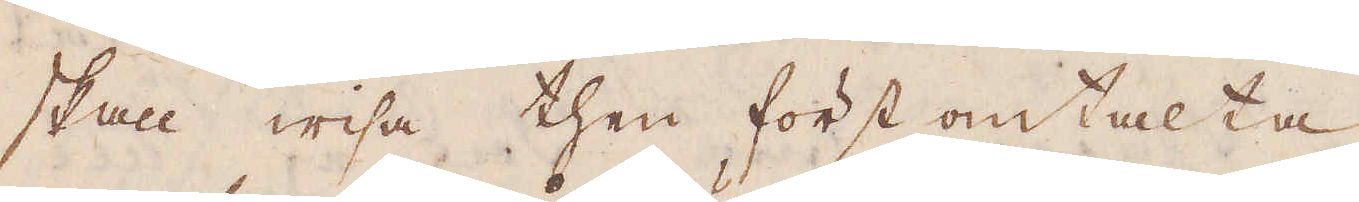skall wisa then först omtalta
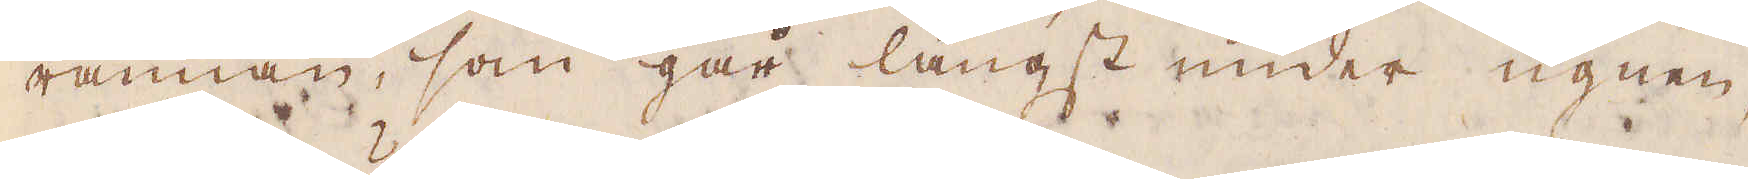rännan, som går längst under ugnen,
